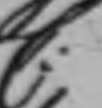C:
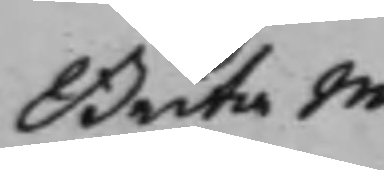Brita Maths¬
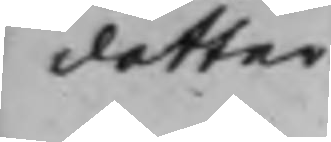dotter.
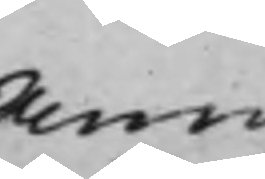Anna
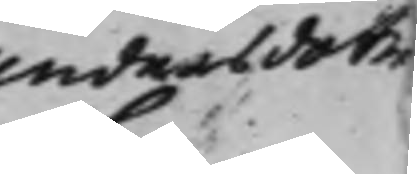Andersdoter
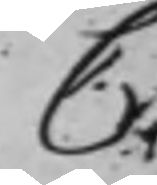C.
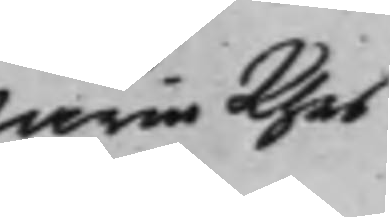Maria Pehrs¬
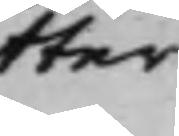dotter
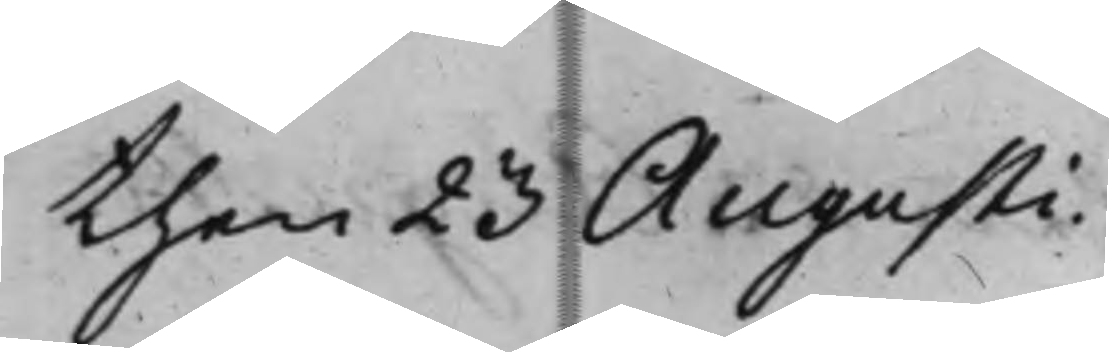then 23 Augusti.
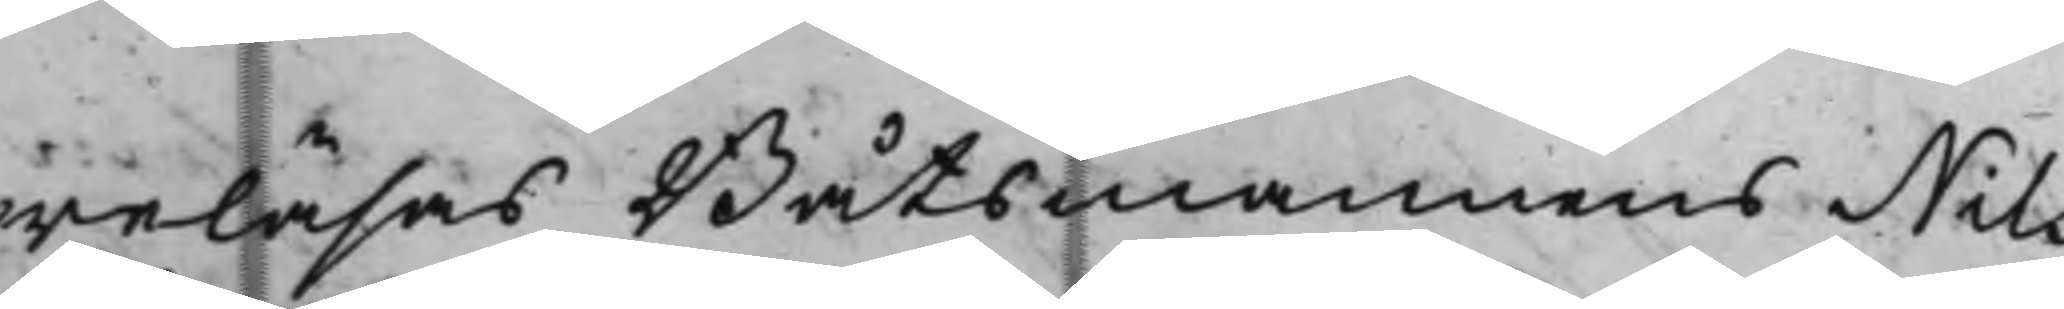reläsas Båtsmannens Nils
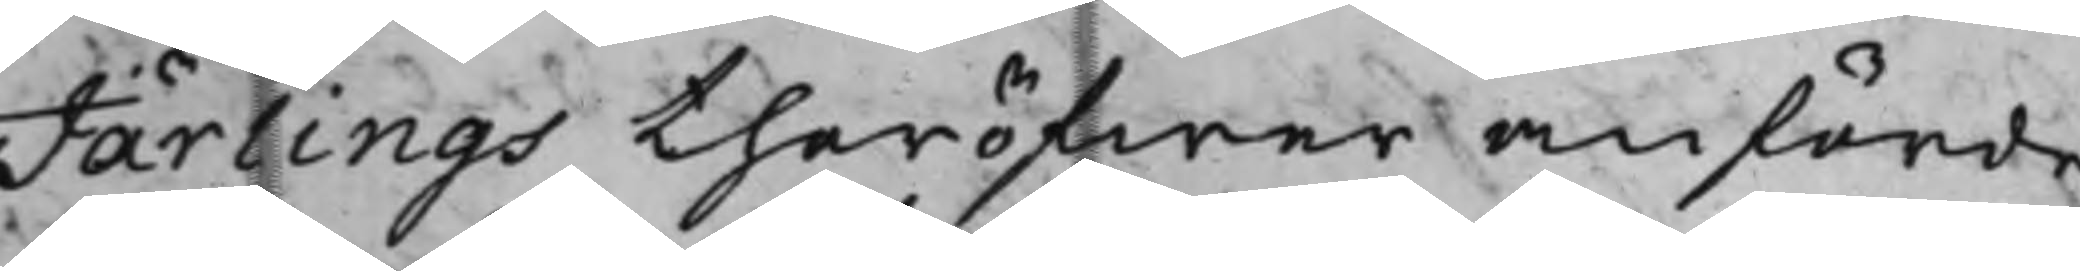Jarlings theröfwer anförde
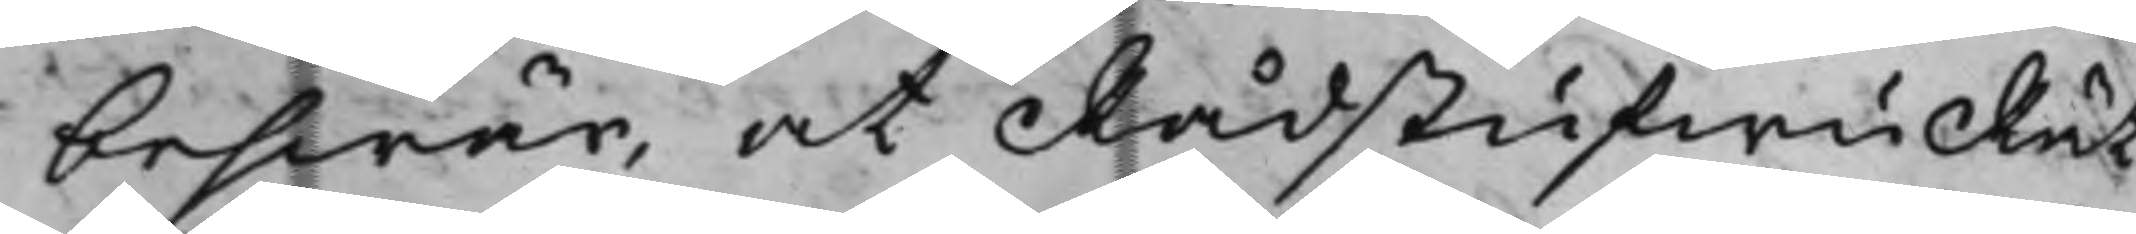beswär, at RådstufwuRät¬
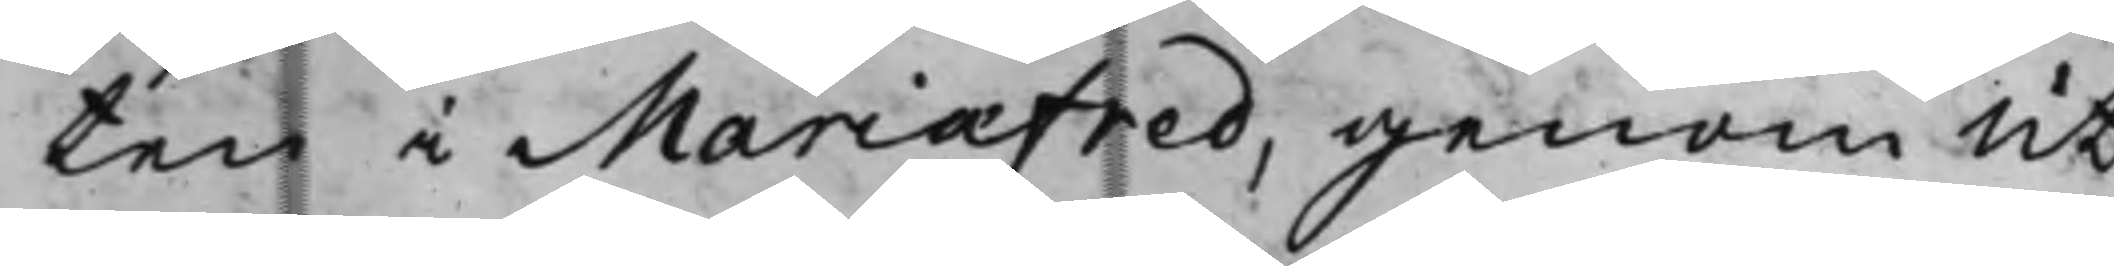ten i Mariæfred, genom ut¬
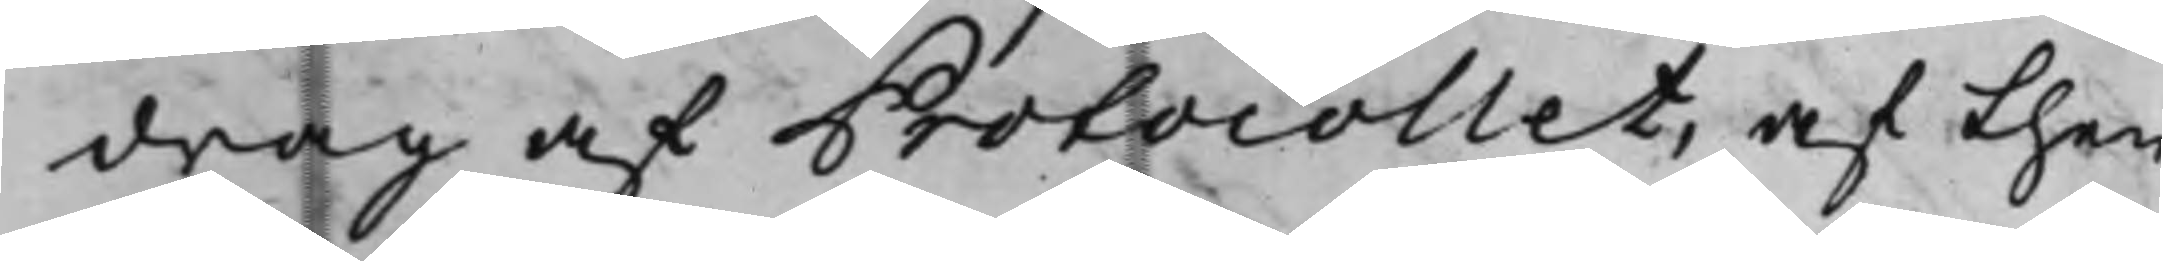drag af Protocollet, af then
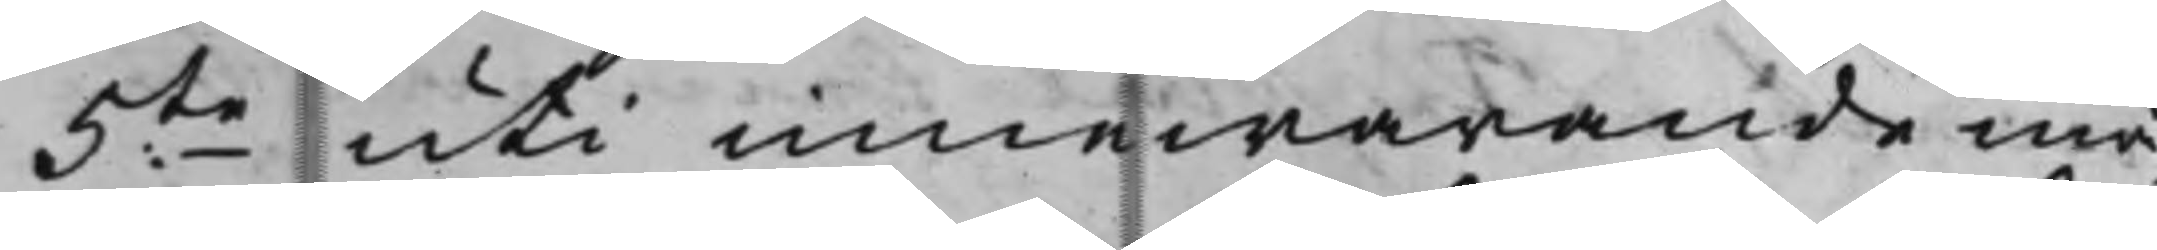5te uti innewarande må¬
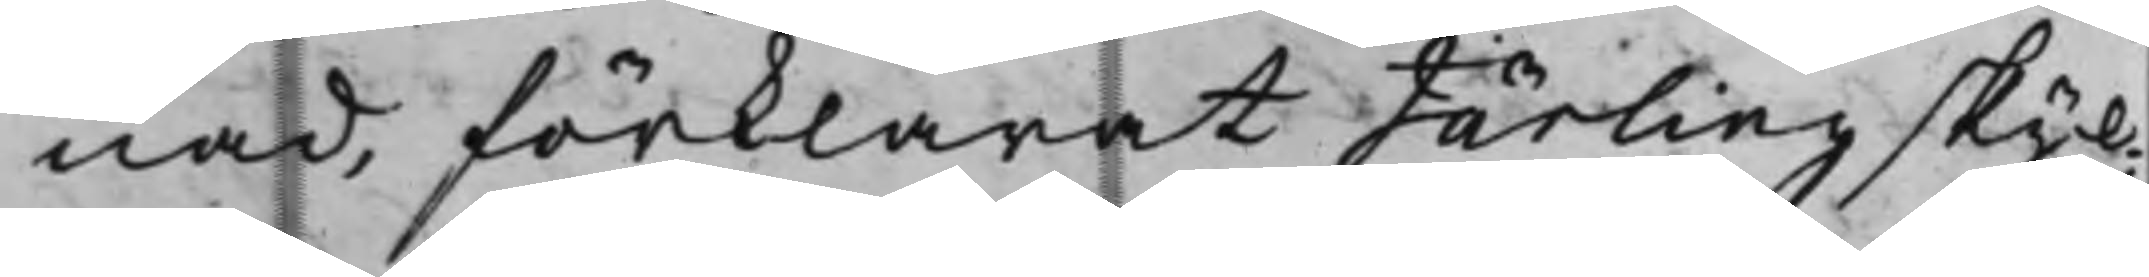nad, förklarat Järling skyl¬
